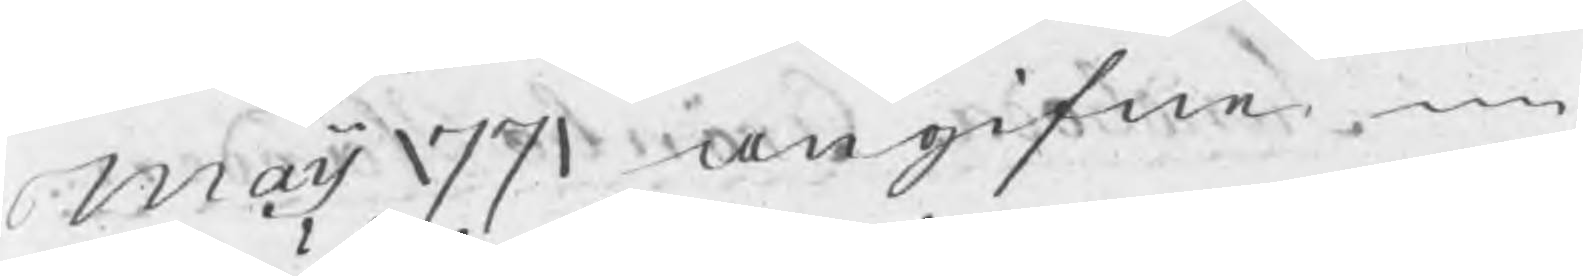maij 1771 gifne
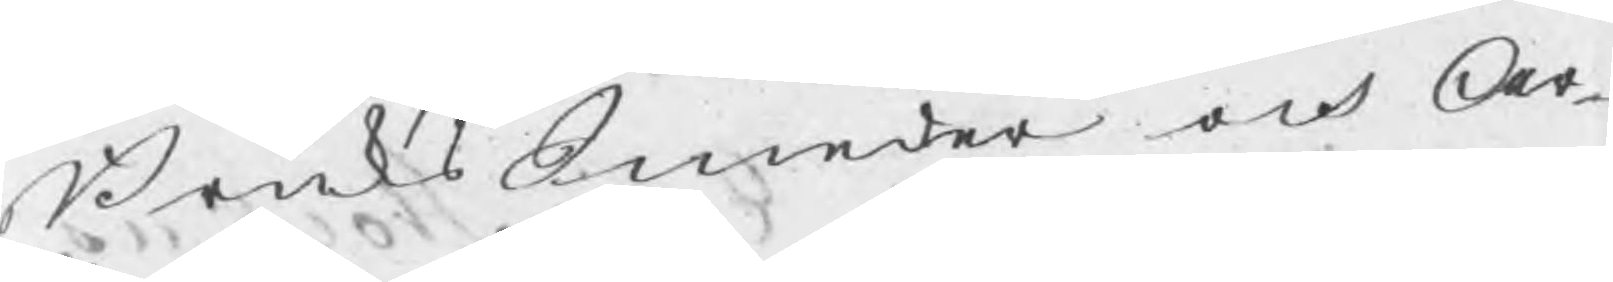BruksSmeder och Ar¬
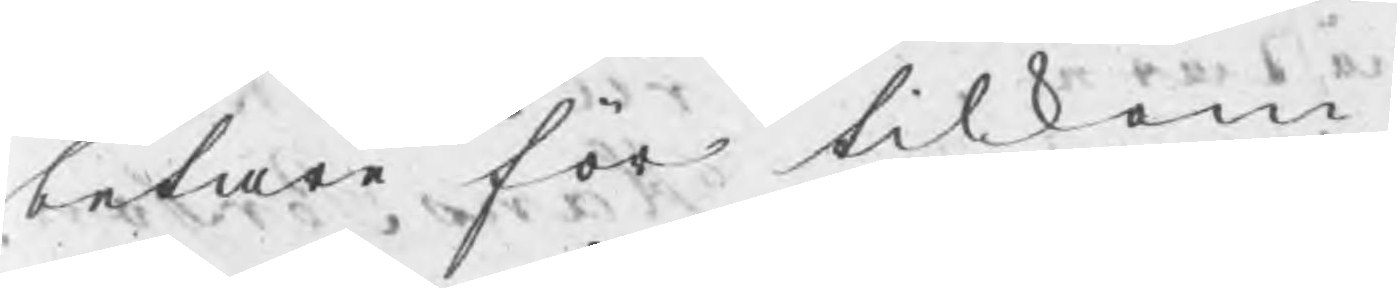betare för tilkom¬
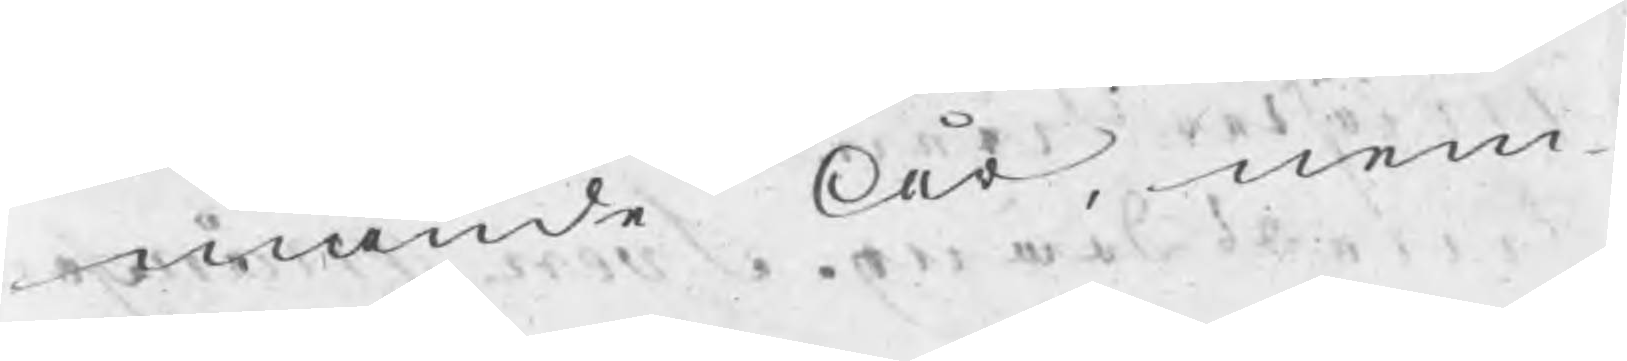mande År, nem¬
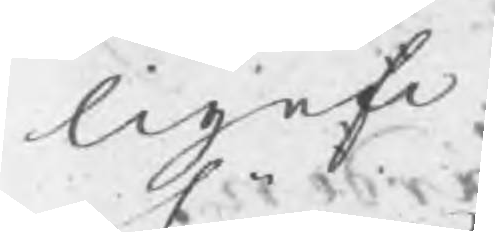ligen
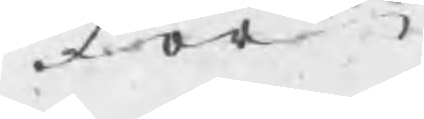för
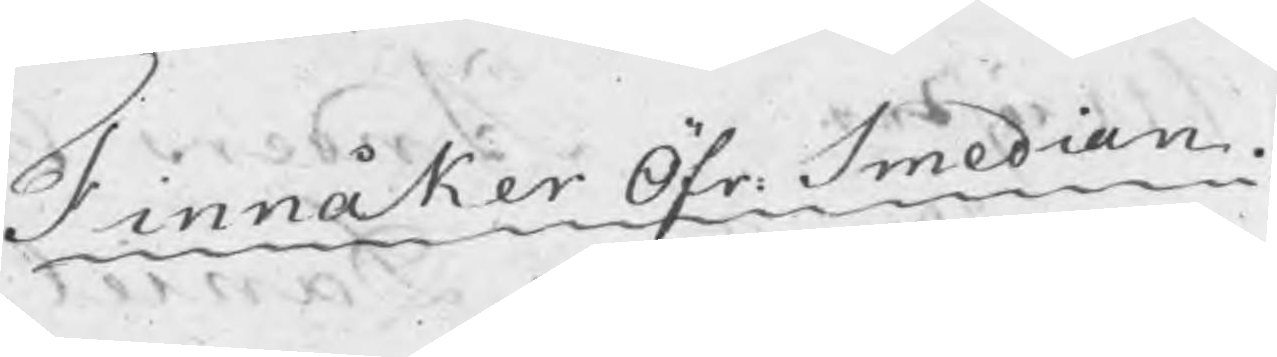Finnåker Öfr. Smedian.
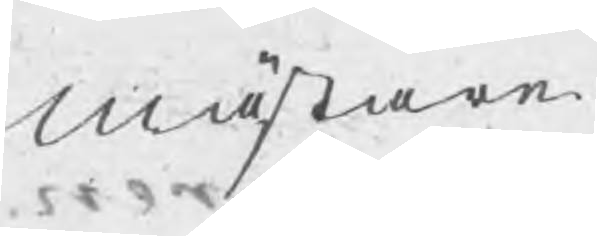Mästare
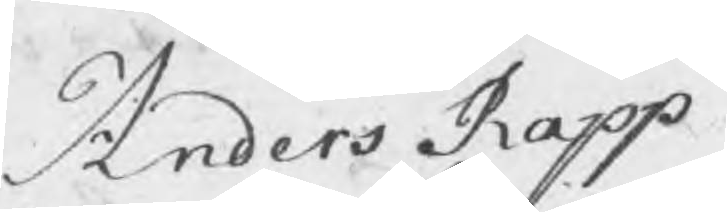Anders Rapp
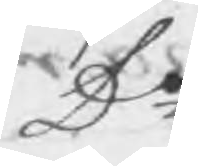Do
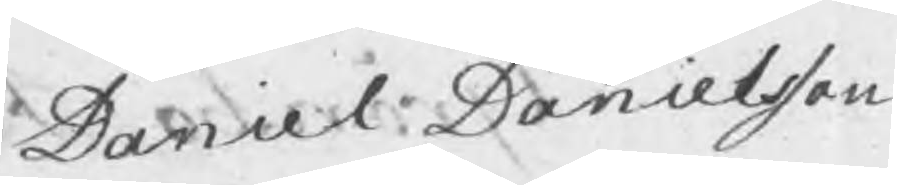Daniel Danielsson
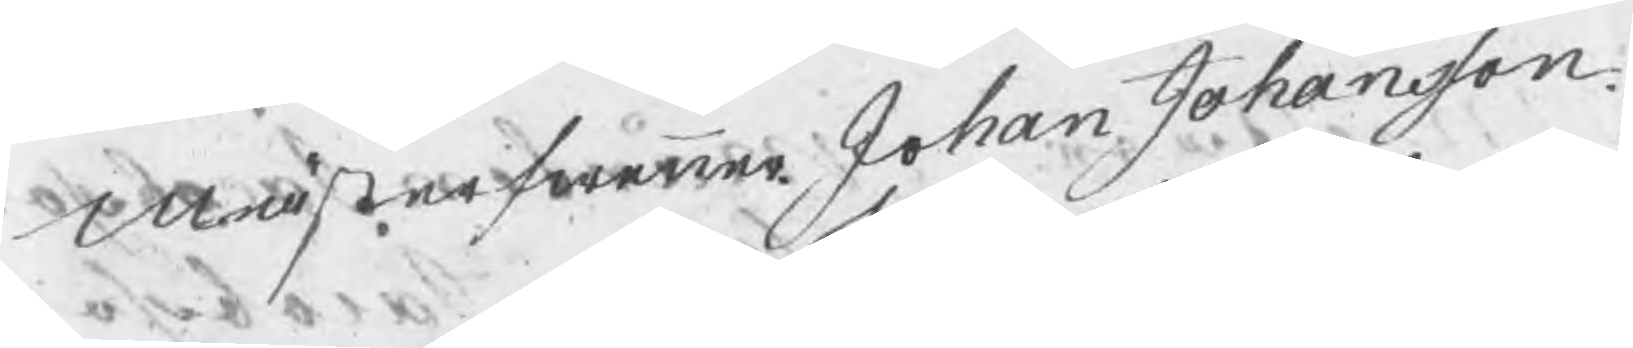Mästerswenner Johan Johansson
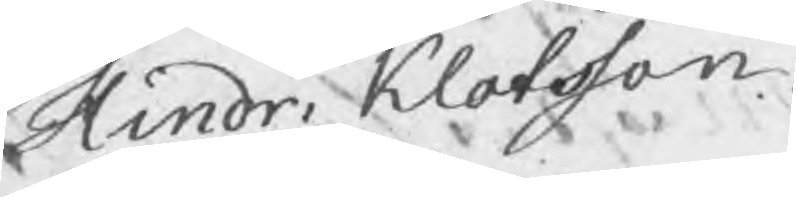Hindr. Klotsson
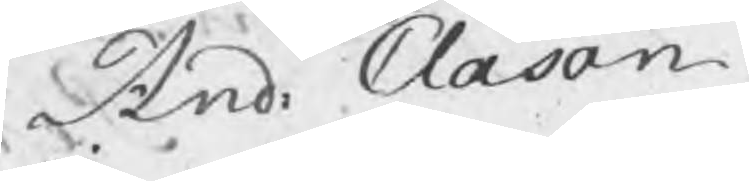And: Clason
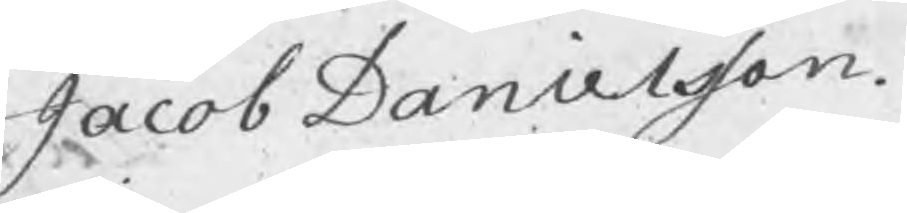Jacob Danielsson.
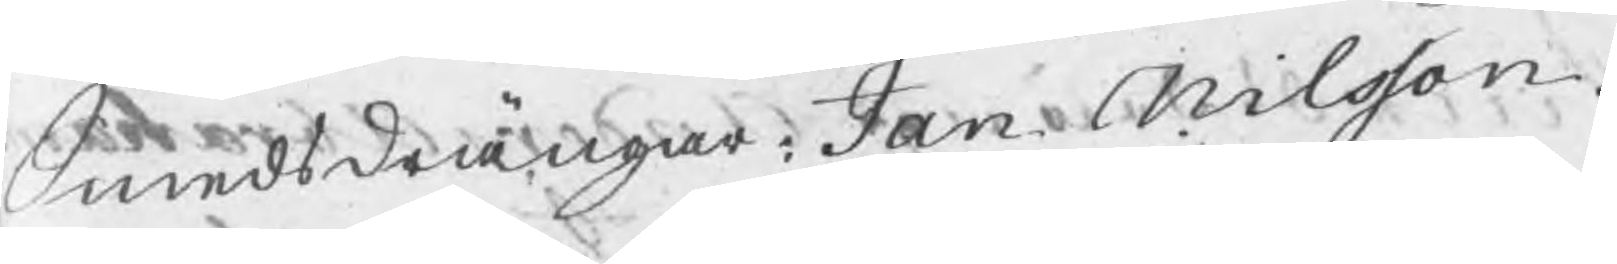Smedsdrängar Jan Nilsson.
